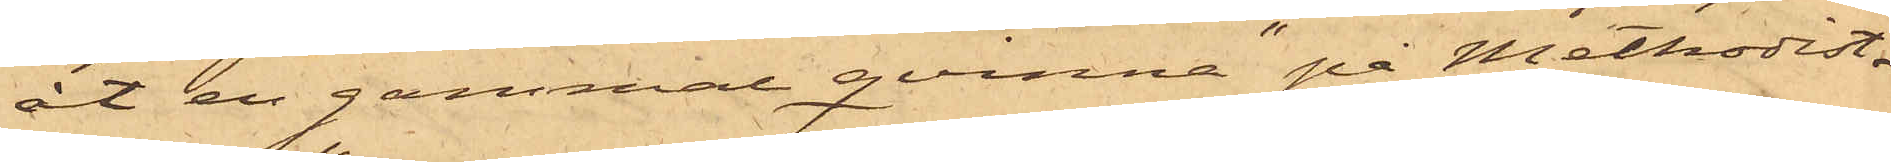åt en gammal qvinna "på Methodist¬
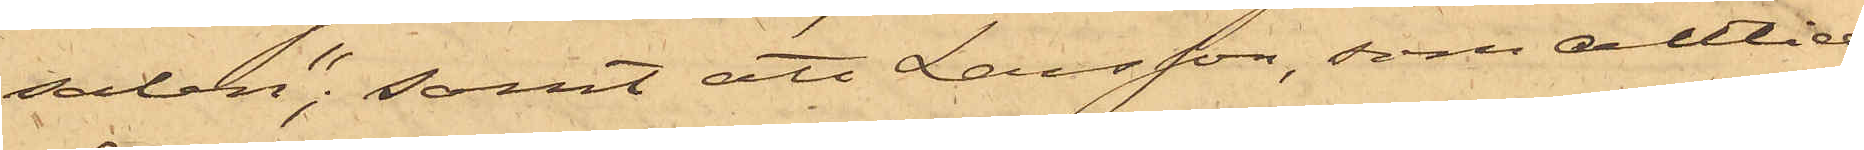salen"; samt att Larsson, som alltid
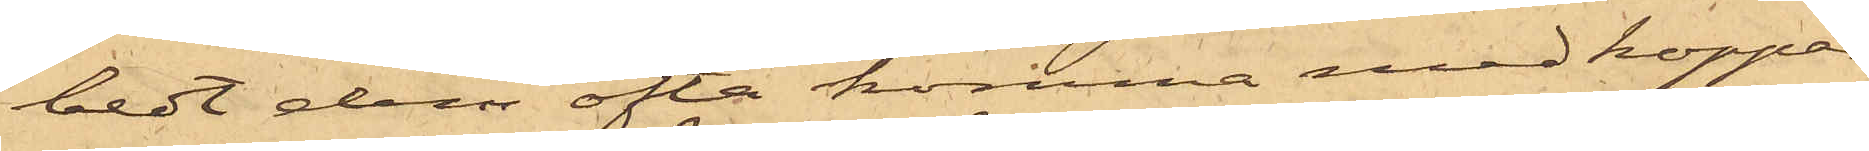bedt dem ofta komma med koppar
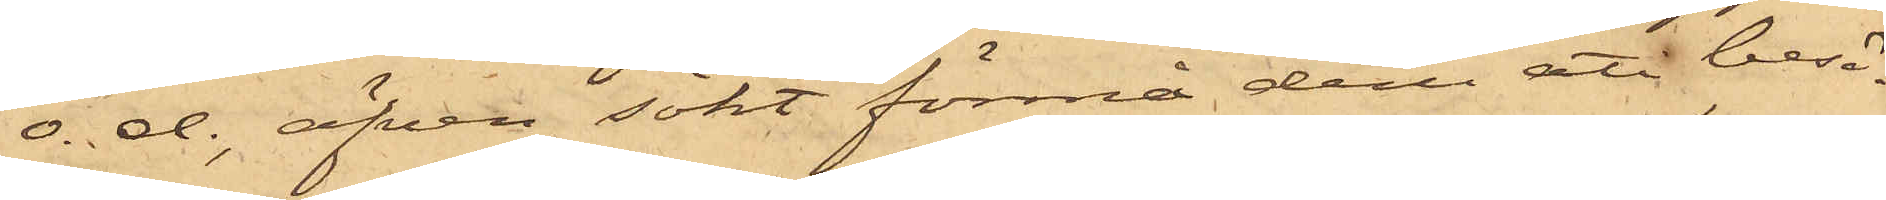o. d., äfven sökt förmå dem att besö¬
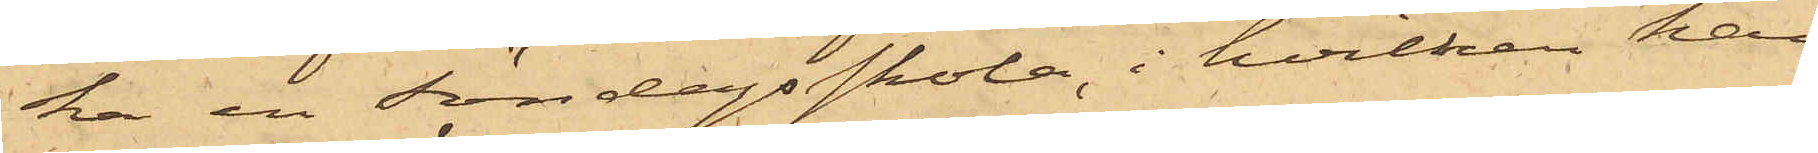ka en Söndagsskola, i hvilken han
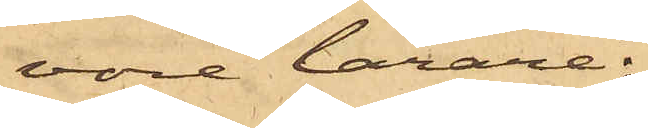vore lärare;
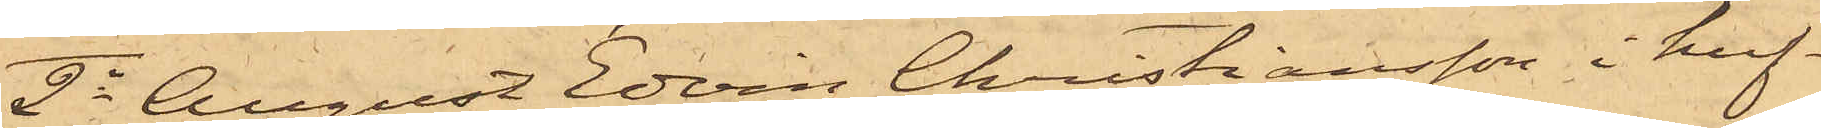2o August Edvin Christiansson i huf¬
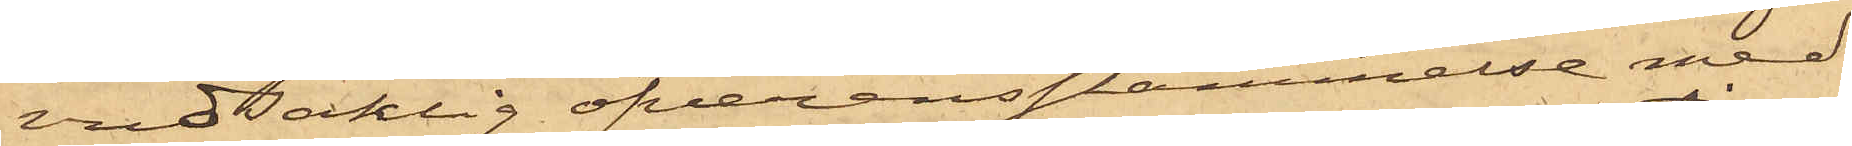vudsaklig öfverensstämmelse med
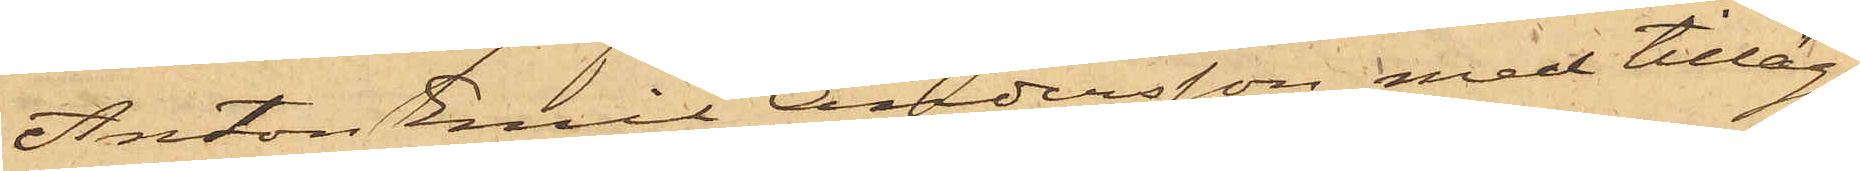Anton Emil Andersson med tillägg
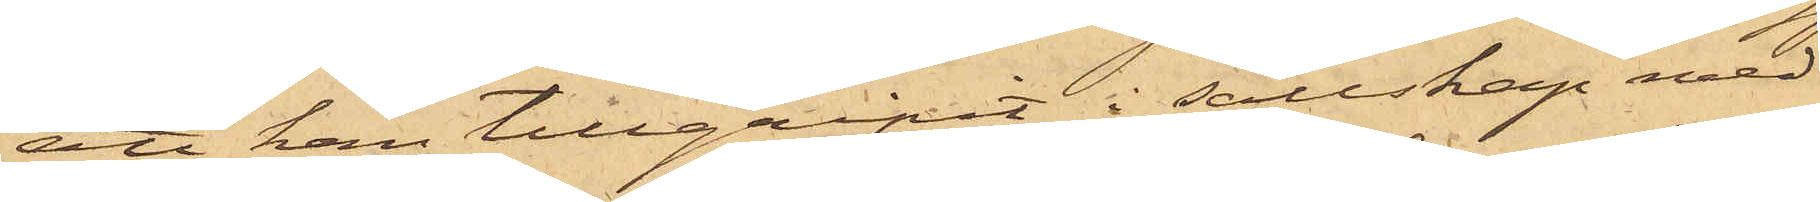att han tillgripit i sällskap med
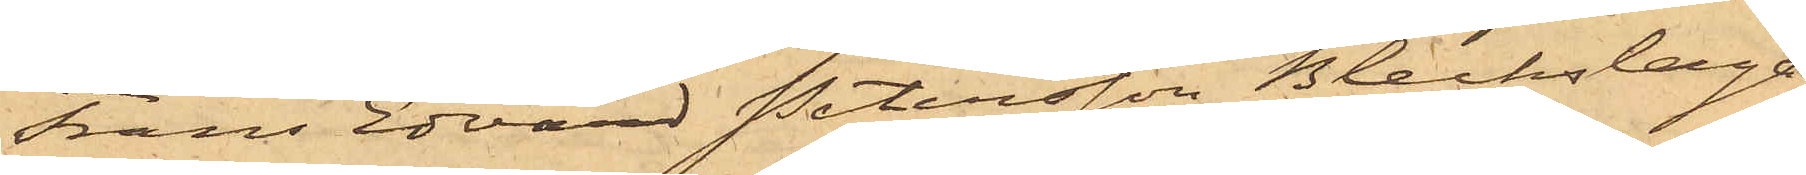Frans Edvard Petersson Bleckslaga¬
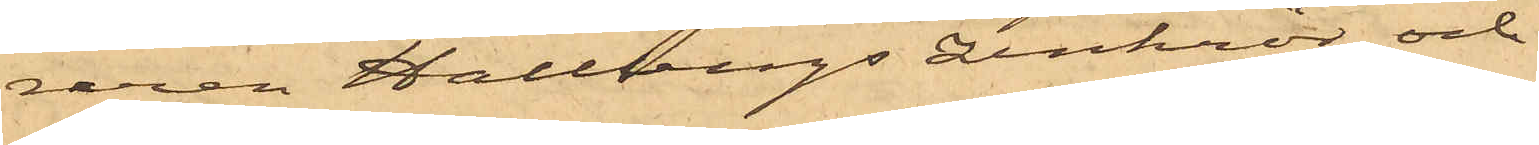raren Hallbergs zinkrör, och
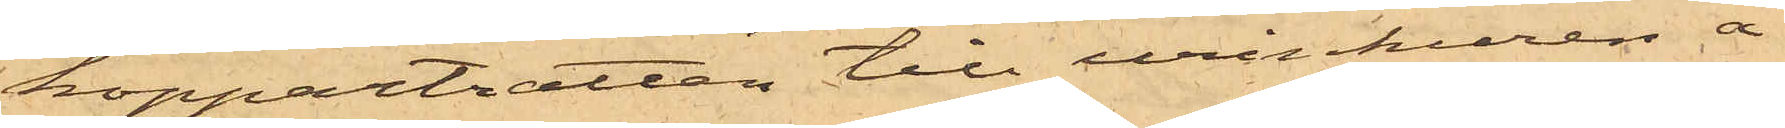koppartratten till urinkuren å
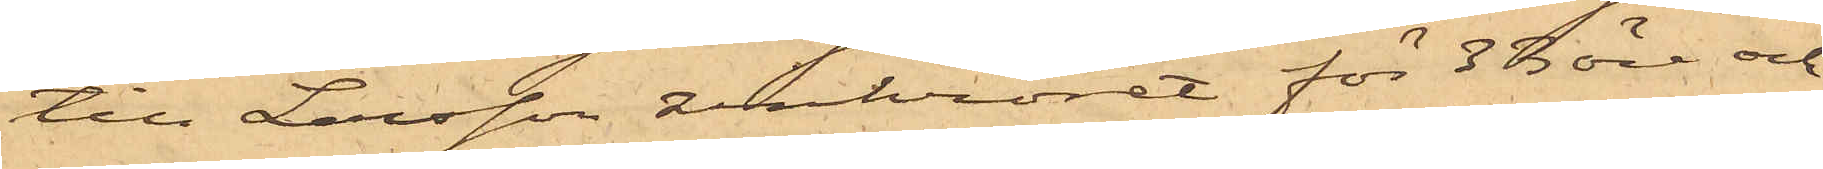till Larsson zinkröret för 33 öre och
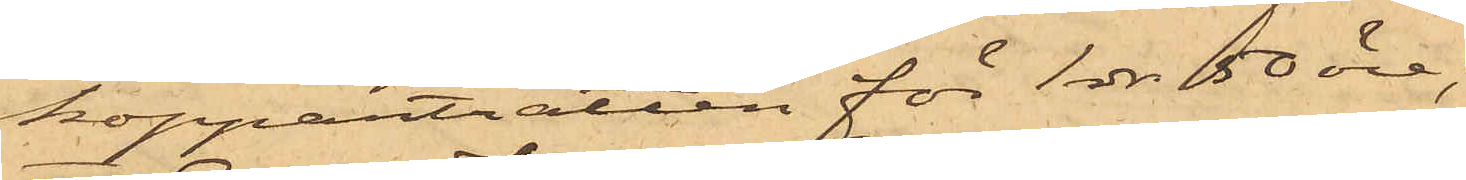koppartratten för 1 rdr 50 öre;
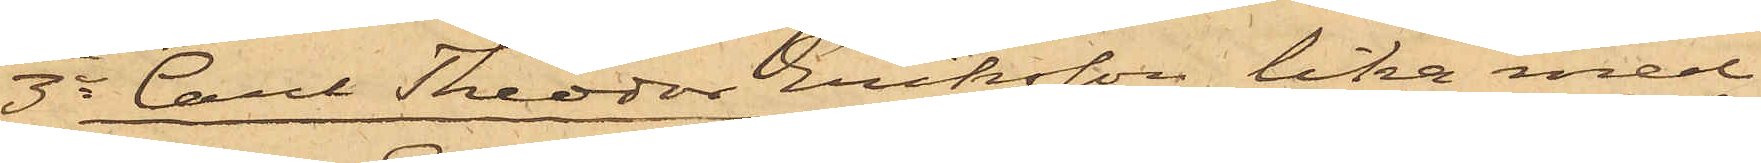3o Carl Theodor Eriksson lika med
